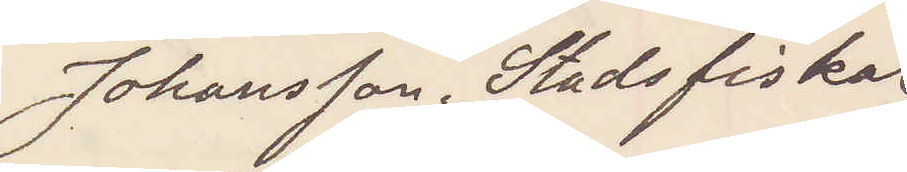Johansson. Stadsfiskal
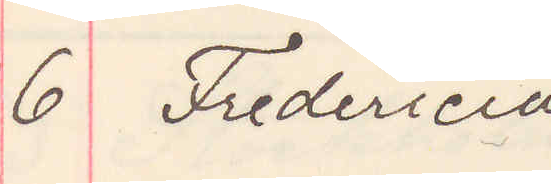6 Fredericia
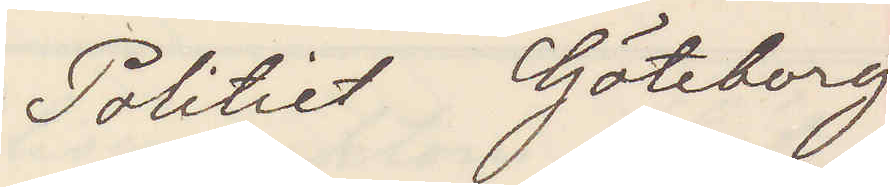Politiet Göteborg
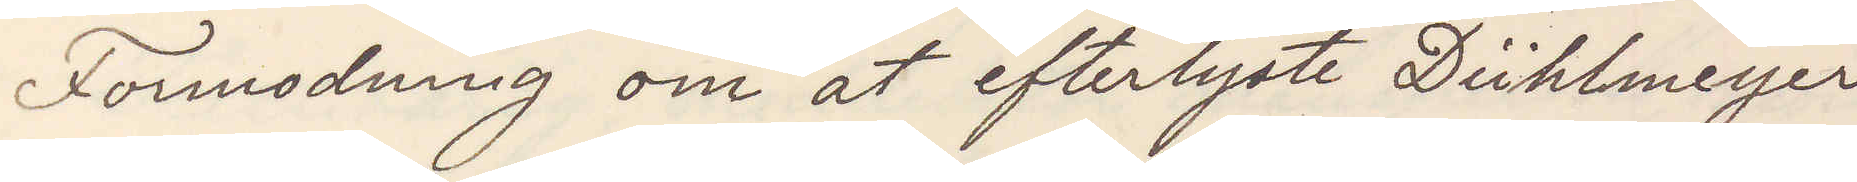Formodning om at efterlyste Dühlmeyer
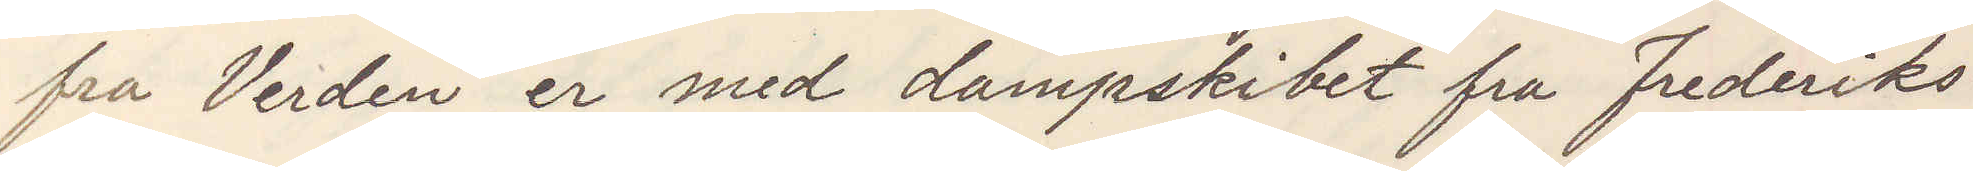fra Verden er med dampskibet fra Fredriks¬
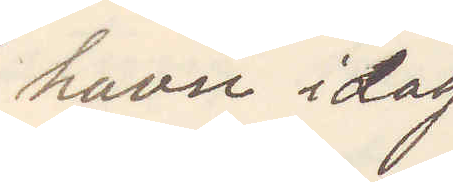havn idag
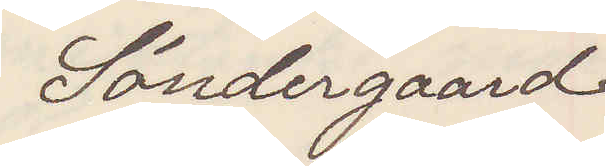Söndergaard
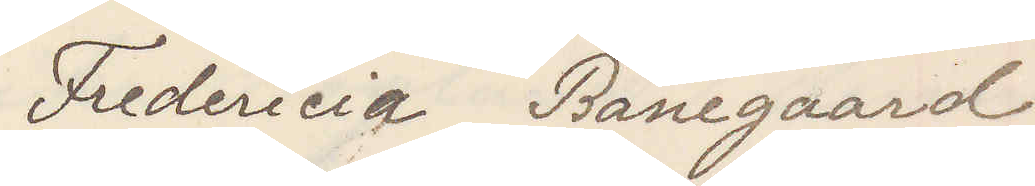Fredericia Banegaard
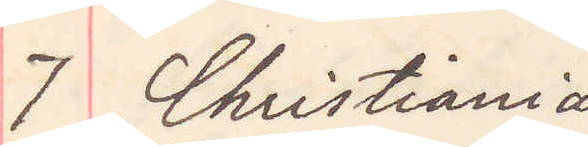7 Christiania
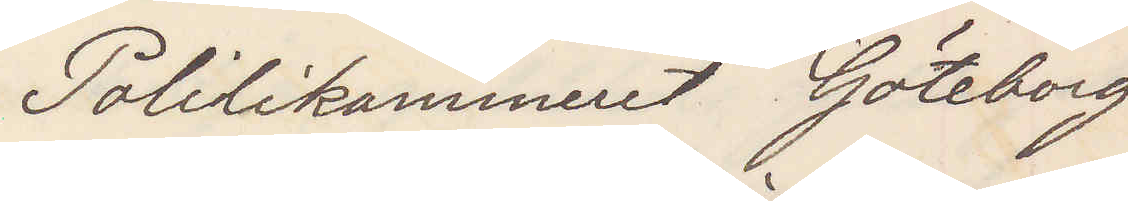Politikammeret Göteborg
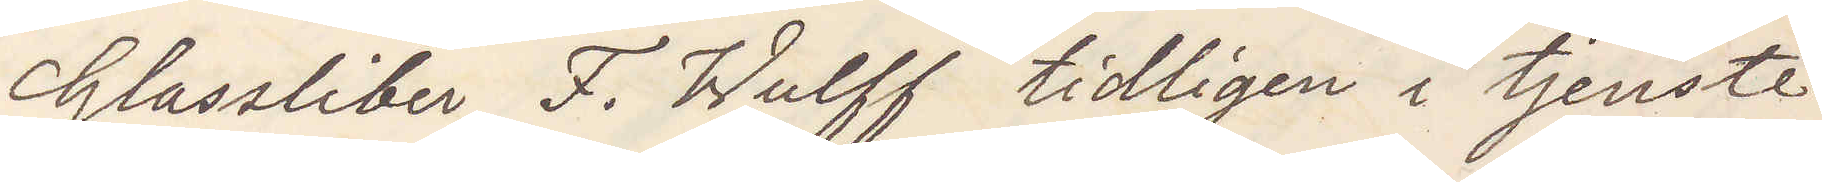Glassliber F. Wulff tidligen i tjenste
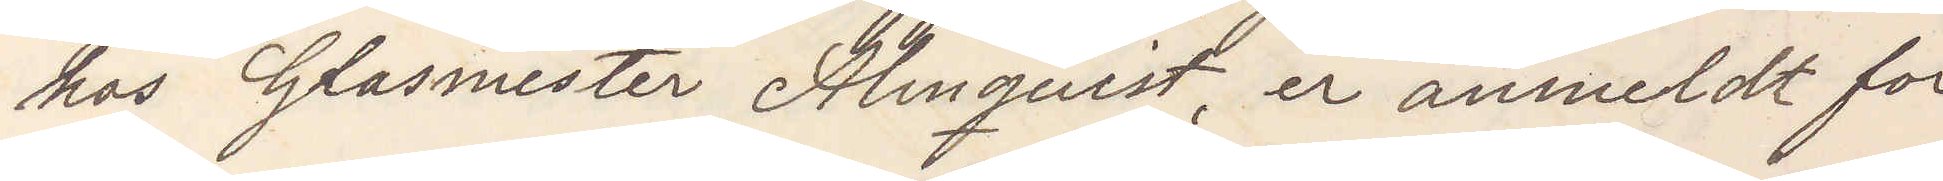hos Glasmester Almqvist, er anmeldt for
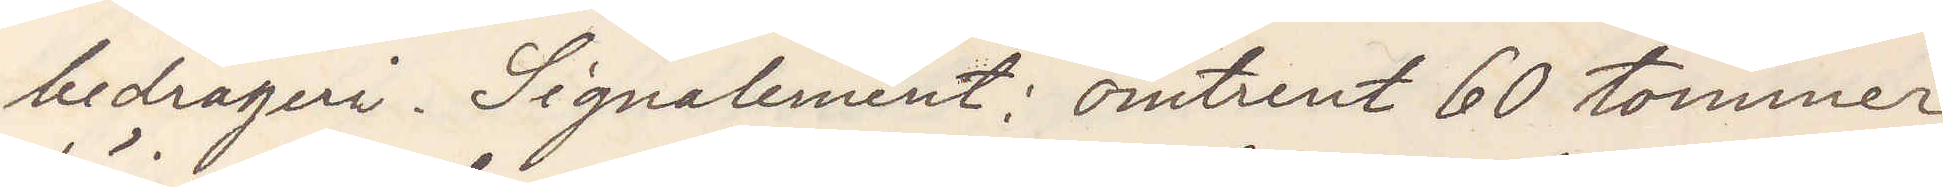bedrageri Signalement omtrent 60 tommer
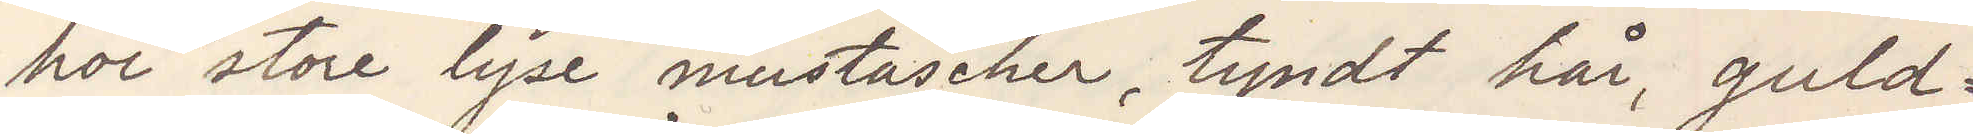höi store lyse mustascher, tyndt hår, guld¬
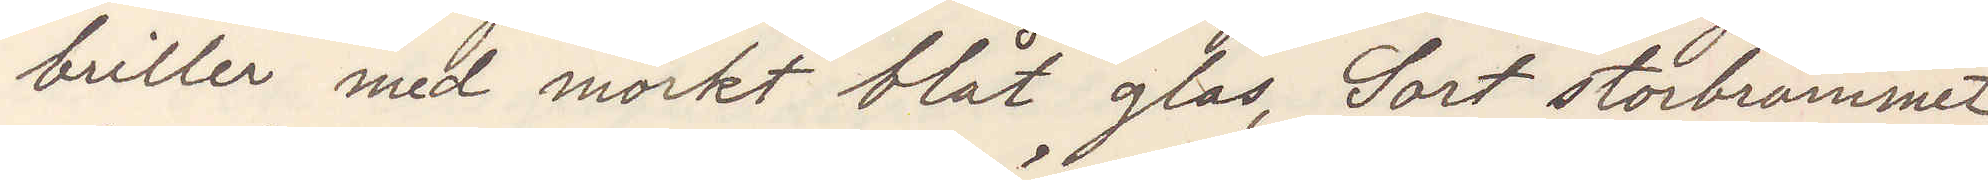briller med mörkt blåt glas, Sort storbrämmet
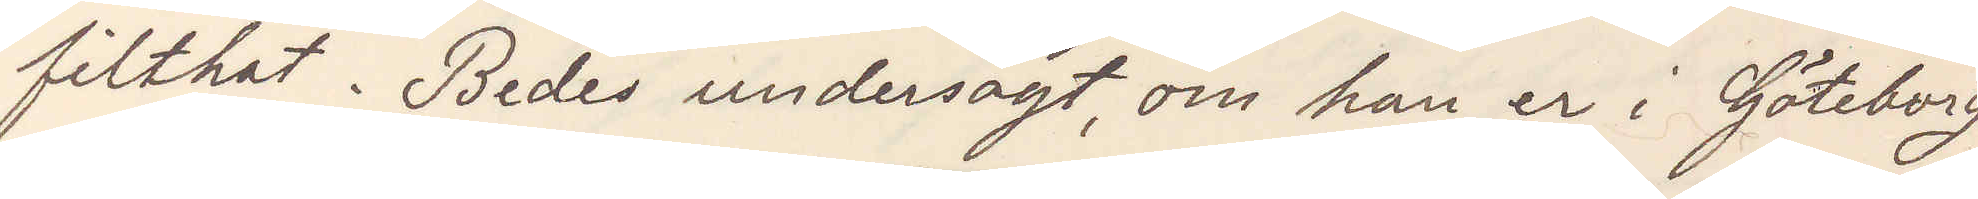filthat. Bedes undersögt om han er i Göteborg
